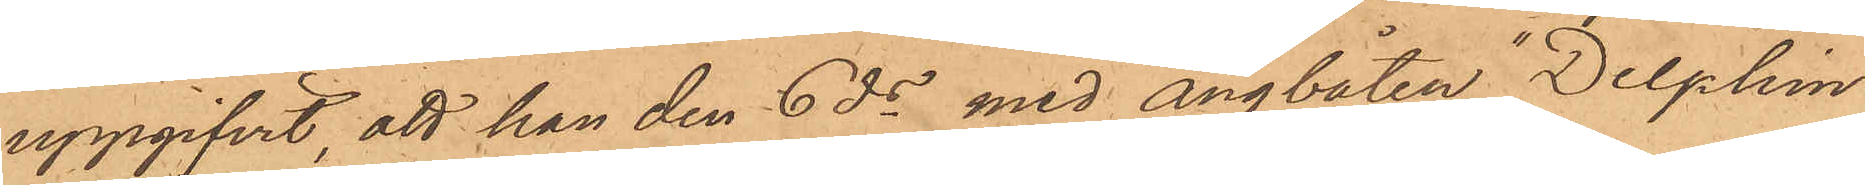uppgifvit, att han den 6 ds med ångbåten "Delphin"
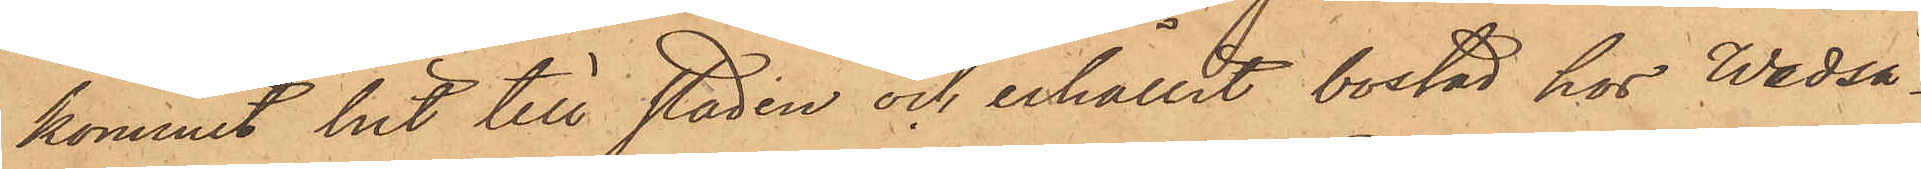kommit hit till staden och erhållit bostad hos Wedså¬
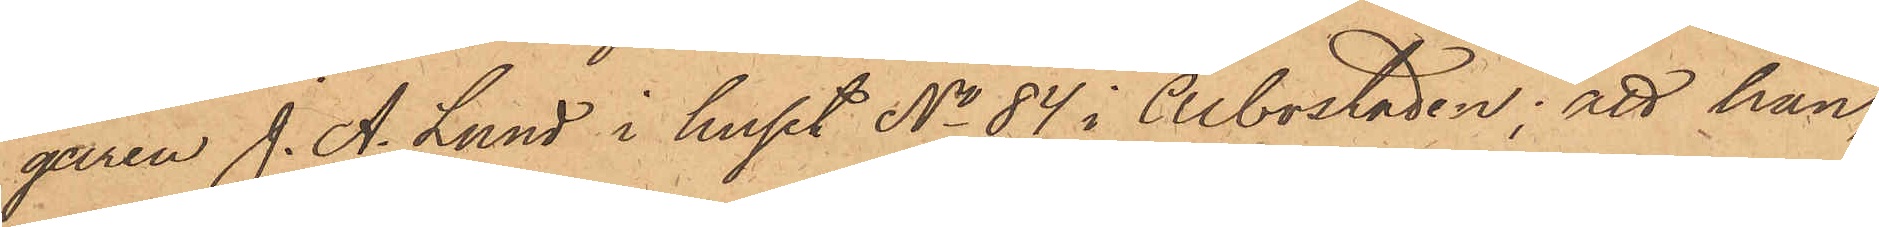garen J. A. Lund i huset No 84 i Albostaden; att han,
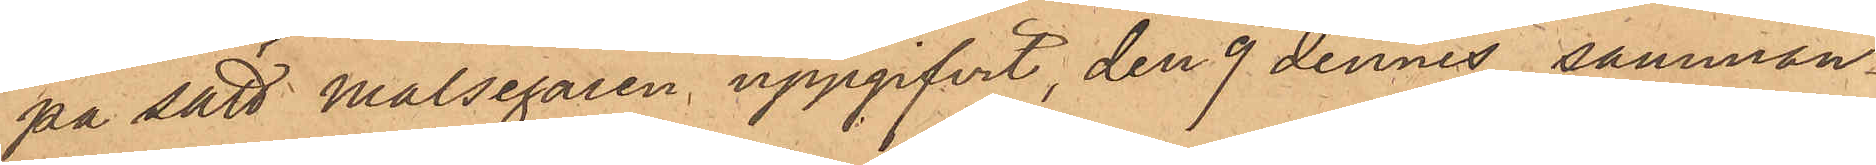på sätt Målsegaren uppgifvit, den 9 dennes samman¬
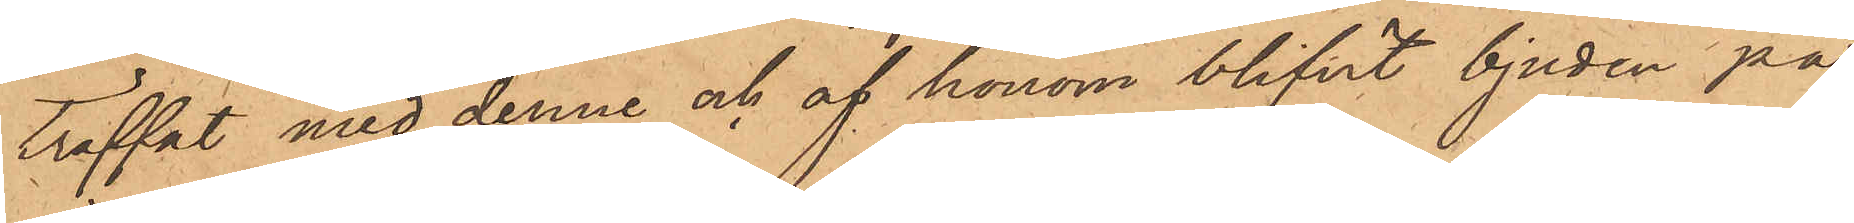träffat med denne och af honom blifvit bjuden på
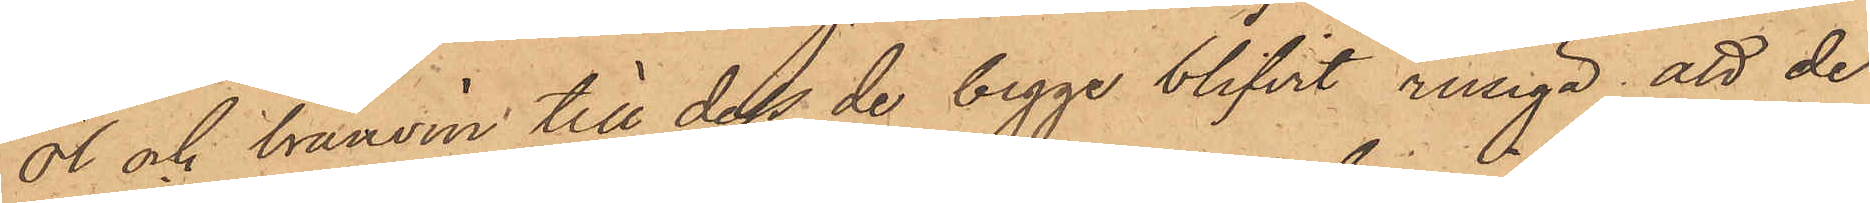öl och bränvin till dess de begge blifvit rusiga, att de
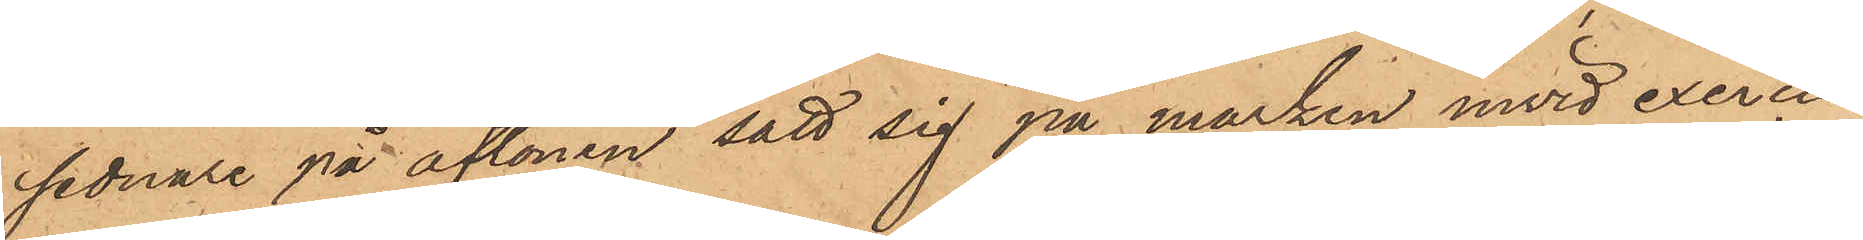sednare på aftonen satt sig på marken invid exercis¬
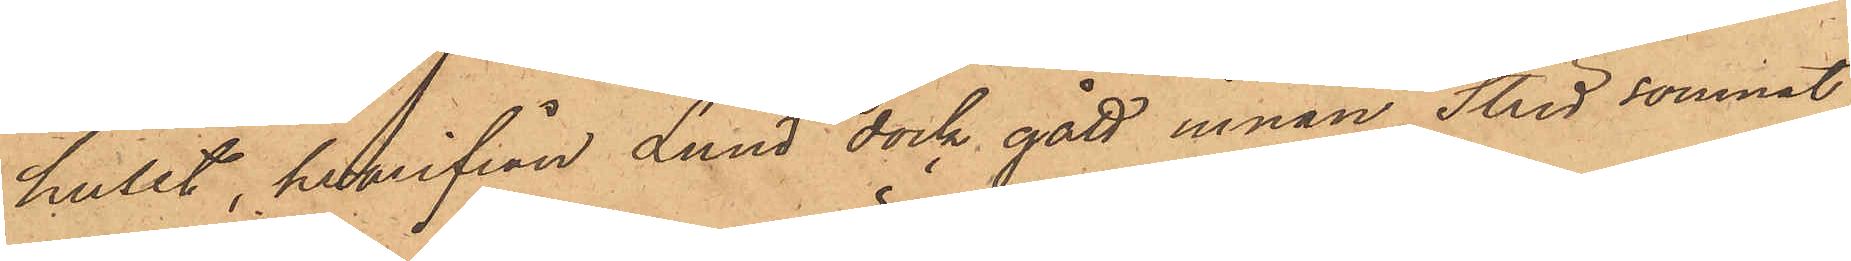huset, hvarifrån Lund dock gått innan Strid somnat;
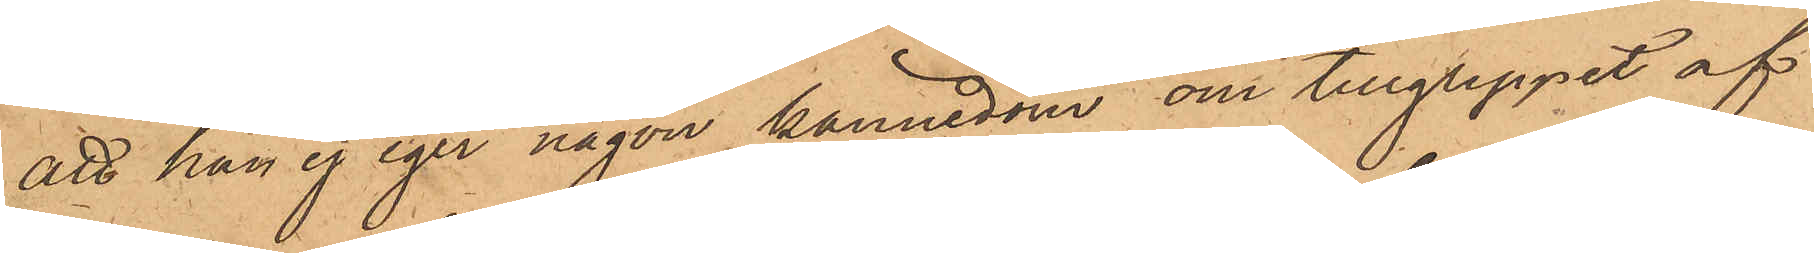att han ej eger någon kännedom om tillgreppet af
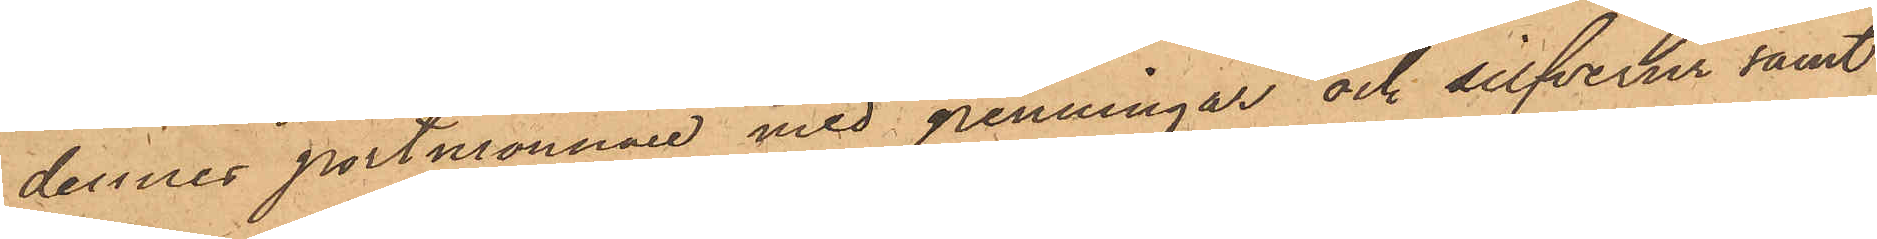dennes portmonnaie med penningar och silfverur samt
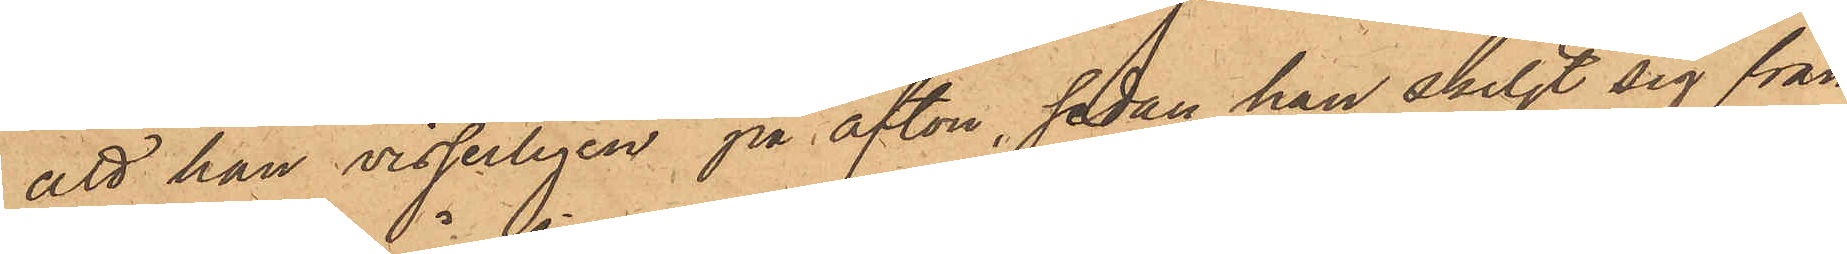att han visserligen på afton, sedan han skiljt sig från
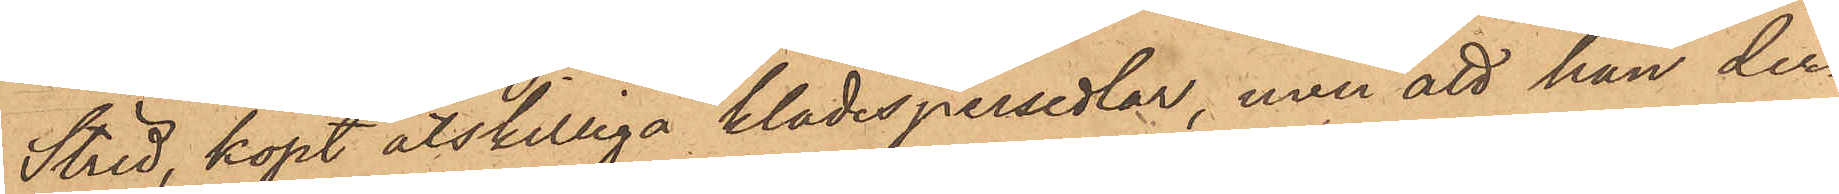Strid, köpt åtskilliga klädespersedlar, men att han der¬
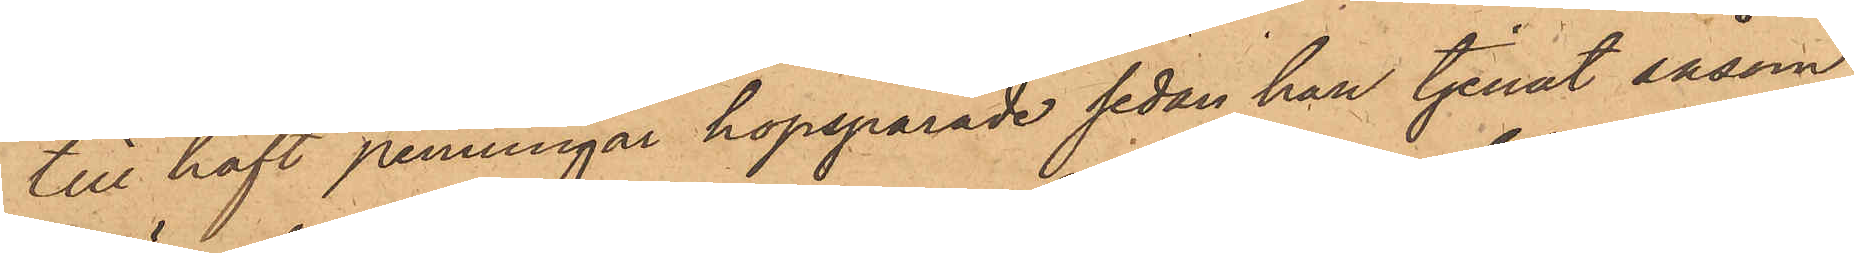till haft penningar hopsparade sedan han tjenat såsom
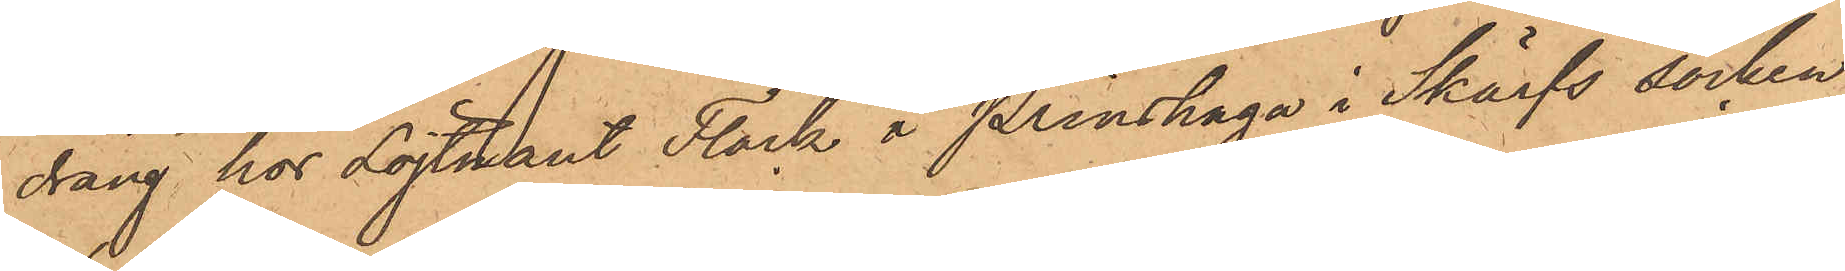dräng hos Löjtnant Flock å Prinshaga i Skärfs socken
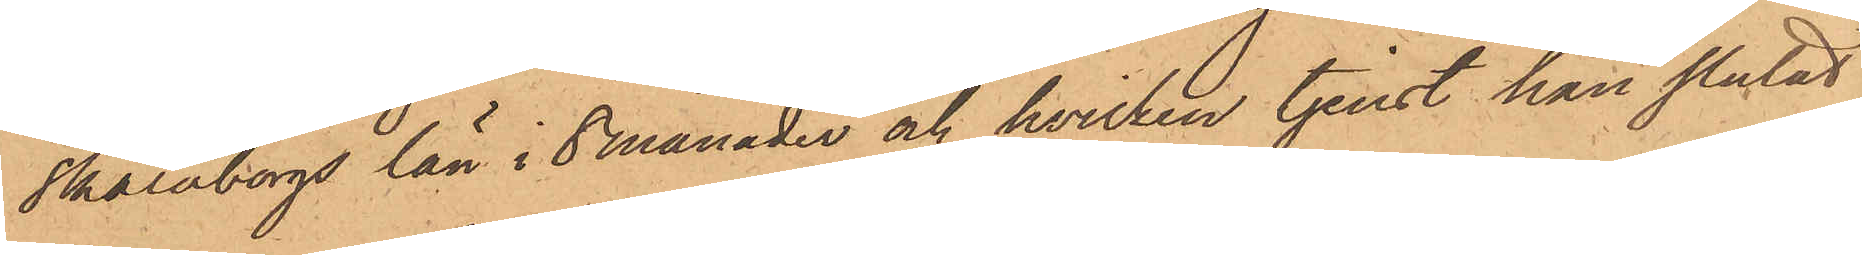Skaraborgs län i 8 månader och hvilken tjenst han slutat
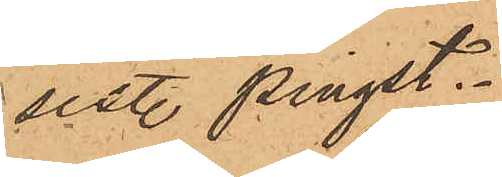sistl. pingst.
